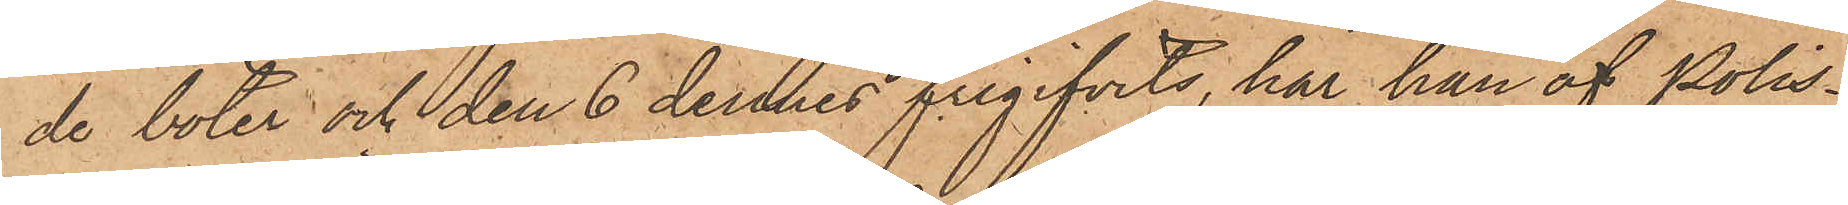de böter och den 6 dennes frigifvits, har han af Polis¬
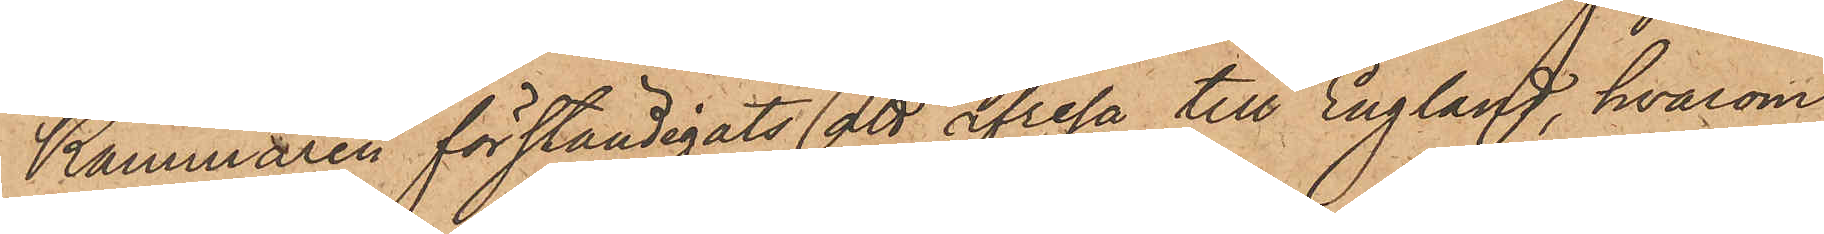Kammaren förständigats att afresa till England, hvarom
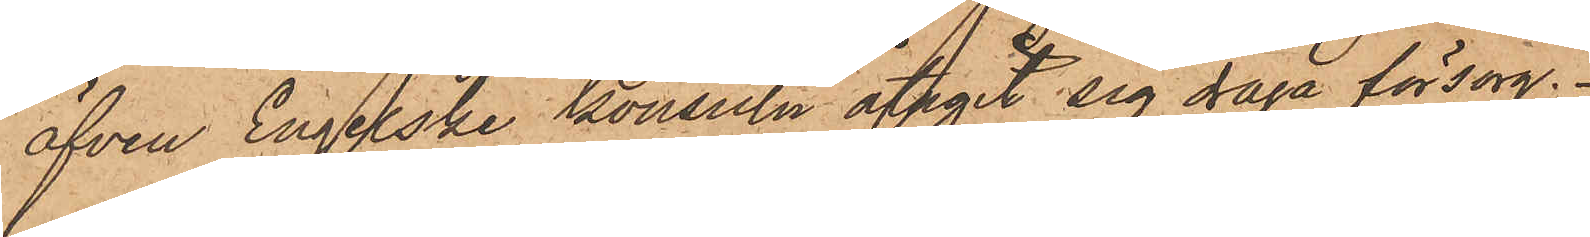äfven Engelske konsuln åtagit sig draga försorg.
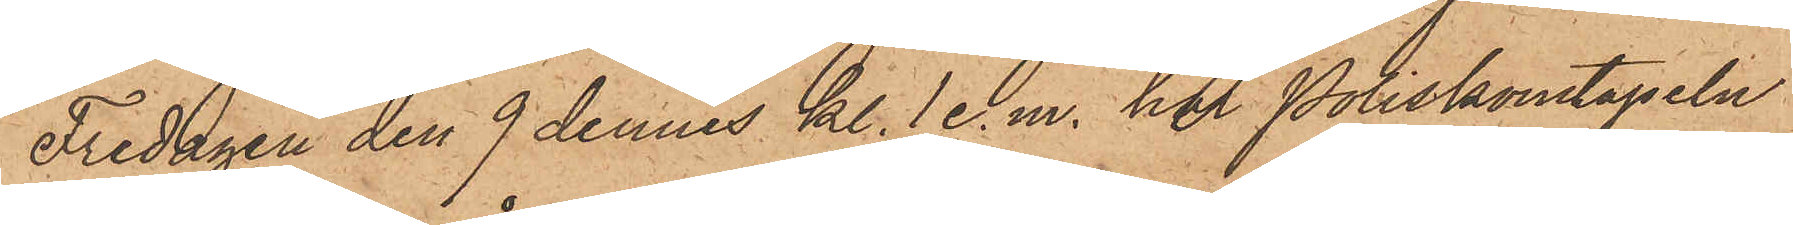Fredagen den 9 dennes kl. 1 e.m. har Poliskonstapeln
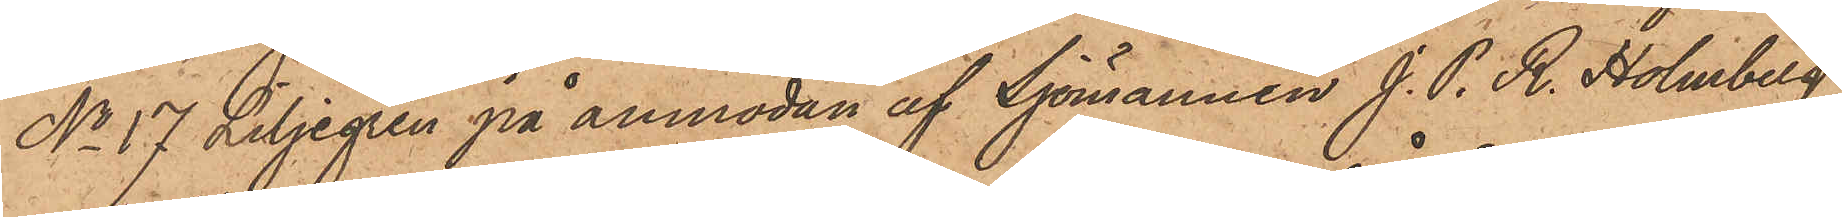No 17 Liljegren på anmodan af Sjömannen J. P. R. Holmberg,
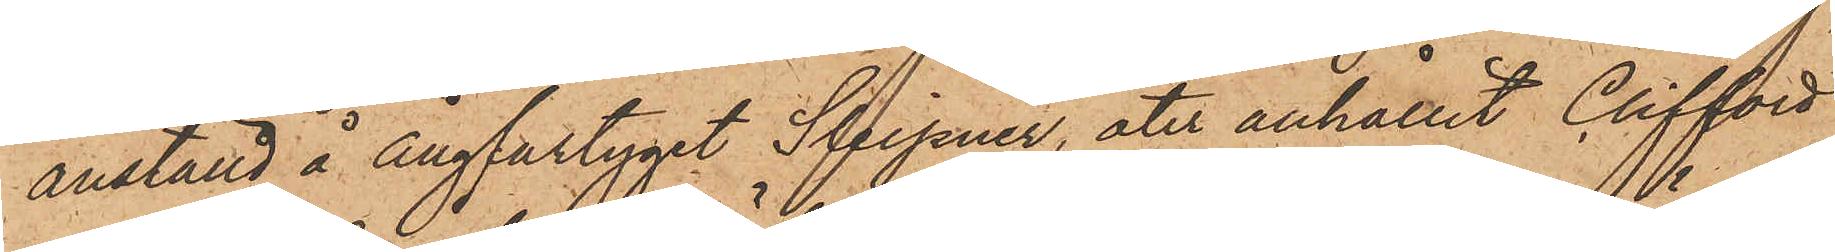anställd å Ångfartyget "Sleipner", åter anhållit Clifford
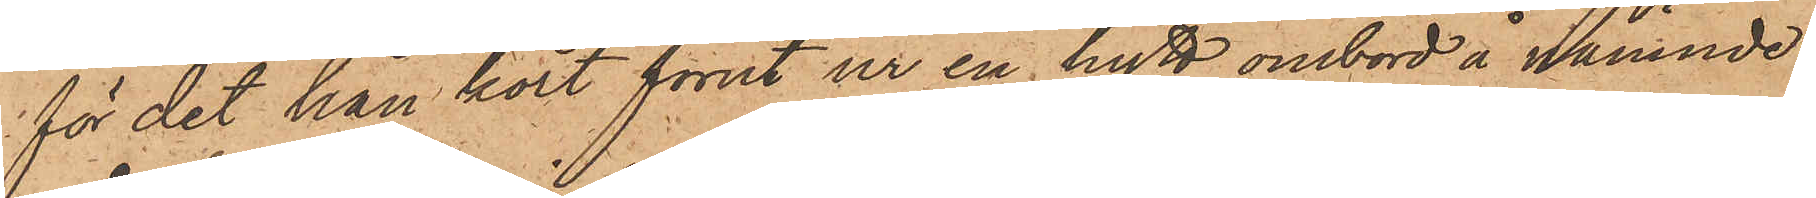för det han kort förut ur en hytt ombord å nämnde
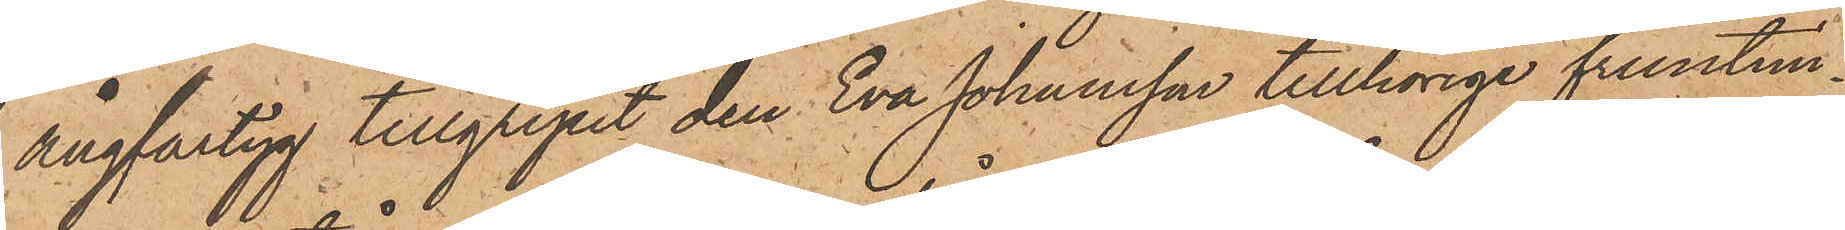ångfartyg tillgripit den Eva Johansson tillhörige fruntim¬
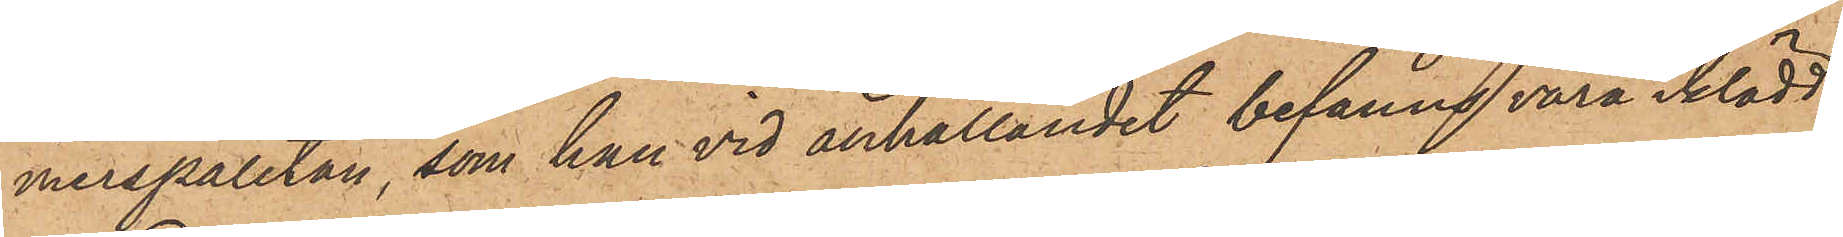merspaletån, som han vid anhållandet befanns vara iklädd.
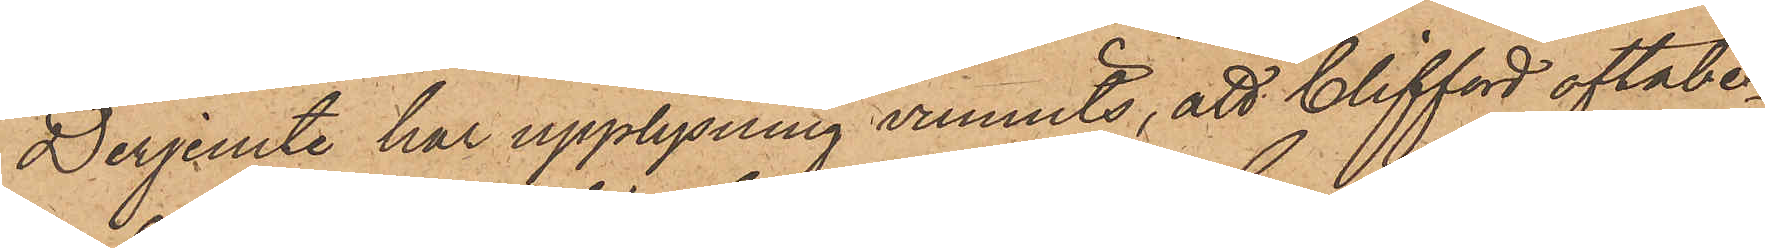Derjemte har upplysning vunnits, att Clifford oftabe¬
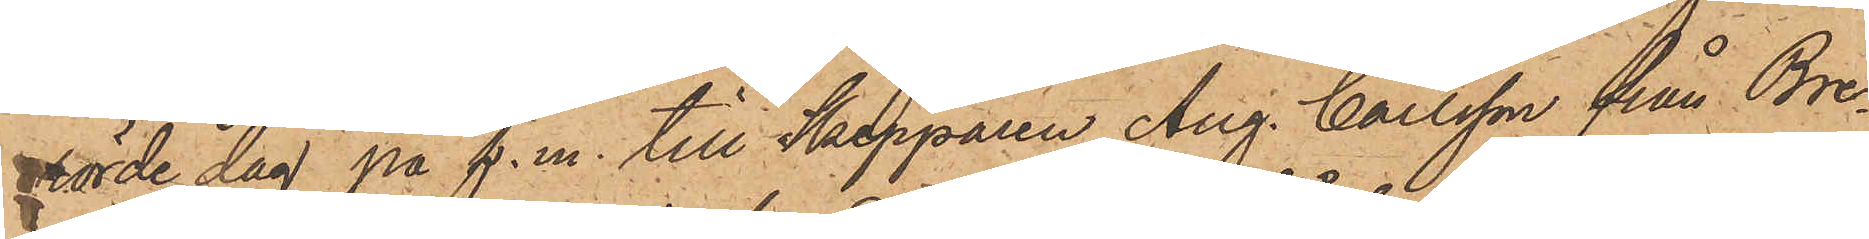rörde dag på f. m. till Skepparen Aug. Carlsson från Bre¬
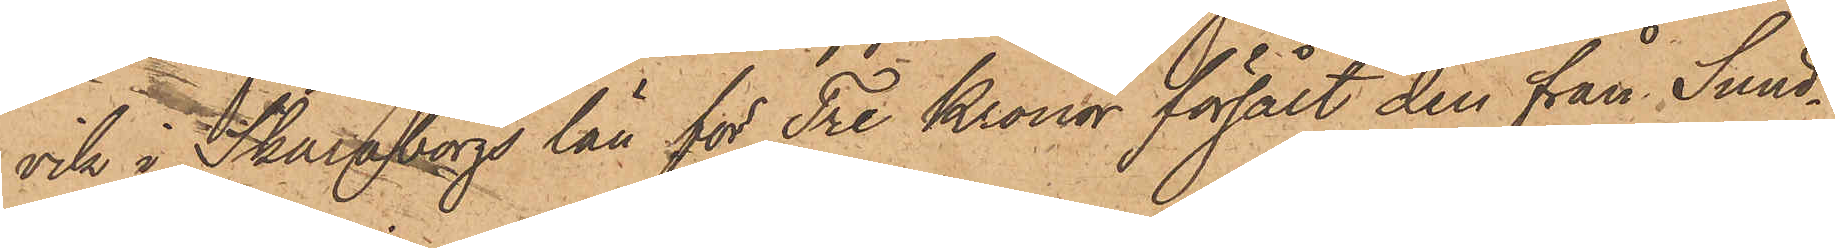vik i Skaraborgs län för Tre Kronor försålt den han Sund¬
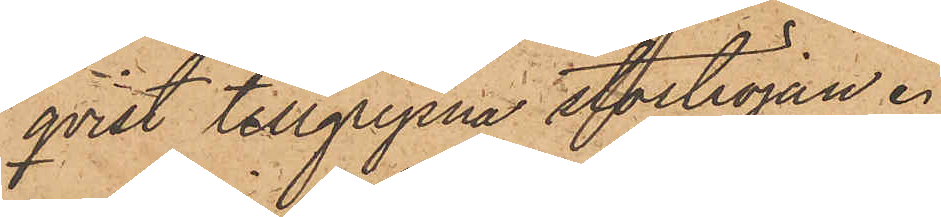qvist tillgripna Stortröjan.
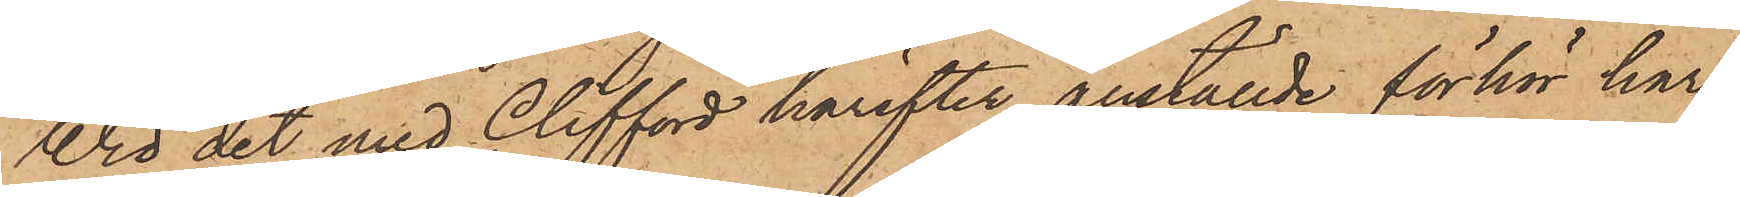Vid det med Clifford härefter anställde förhör har
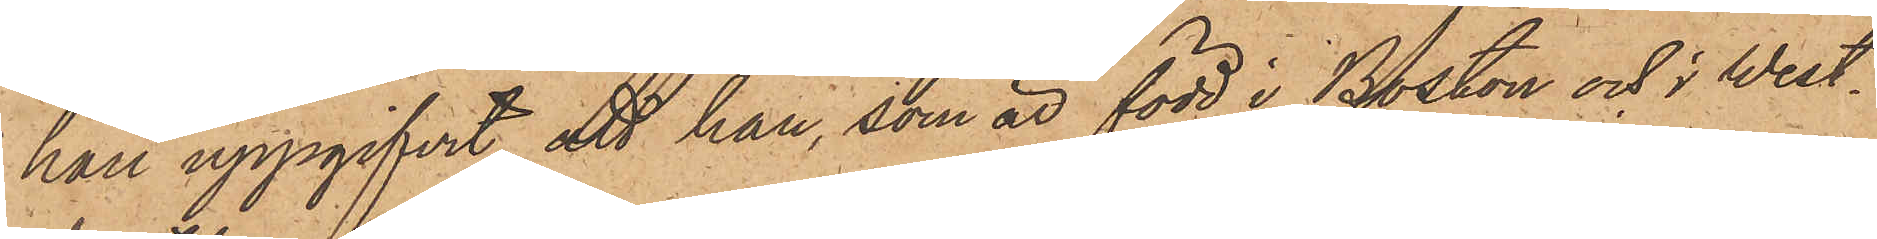han uppgifvit, att han, som är född i Boston och i West¬
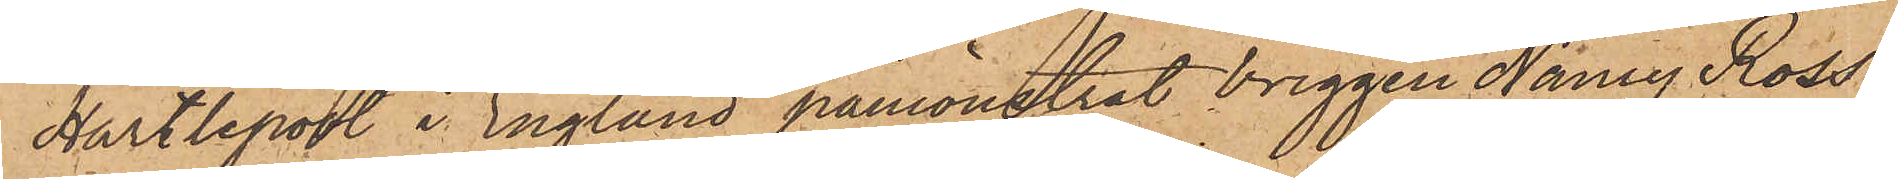Hartlepool i England påmönstrat briggen Nancy Ross"
